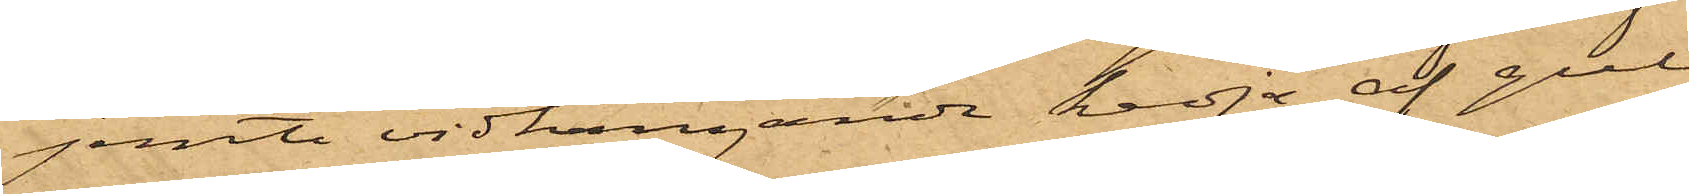jemte vidhängande kedja af gul
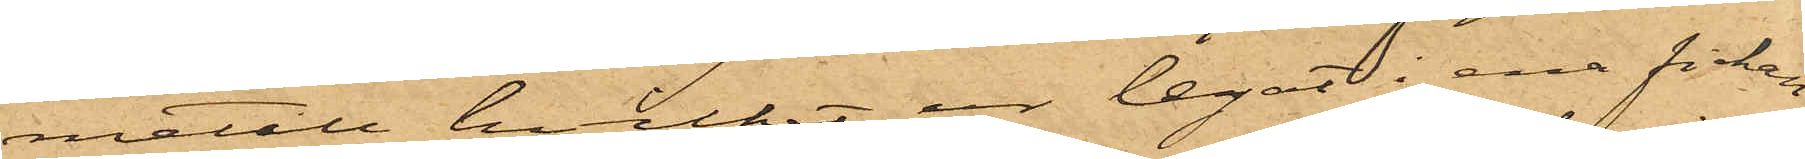metall, hvilket ur legat i ena fickan
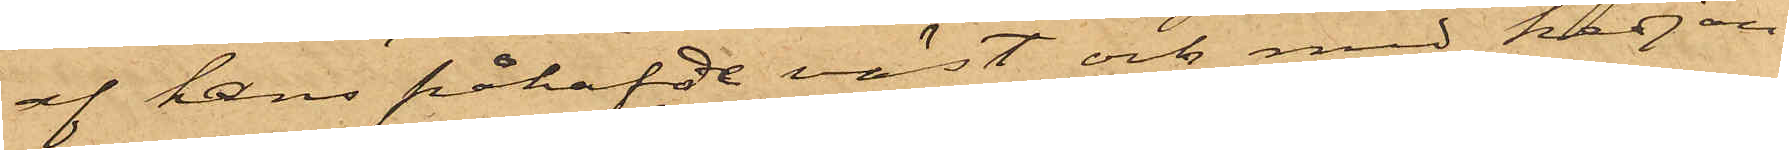af hans påhafde väst och med kedjan
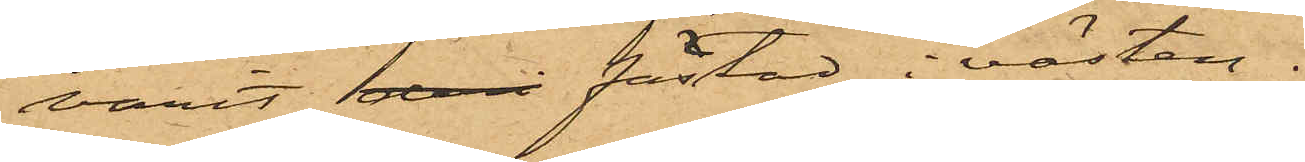varit fästad i västen.
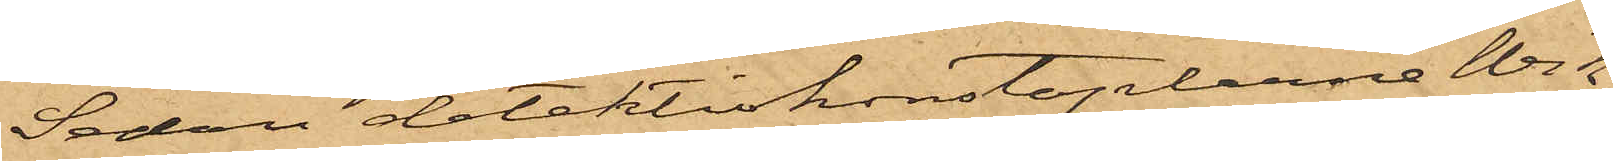Sedan detektivkonstaplarne Wik
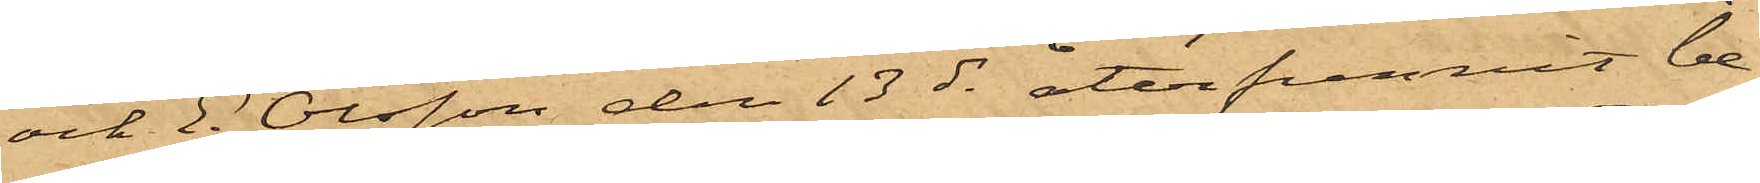och E. Olsson den 13 ds återfunnit be¬
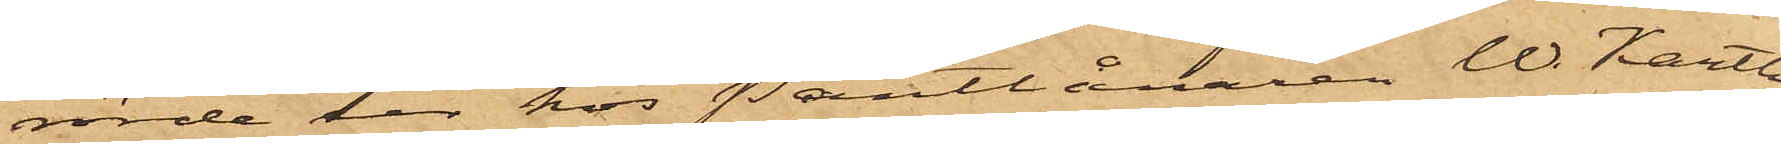rörde ur hos Pantlånaren W. Karth
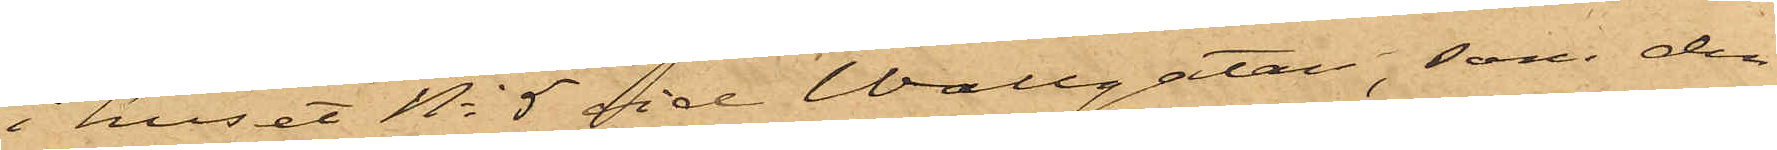i huset No 5 vid Wallgatan, som den
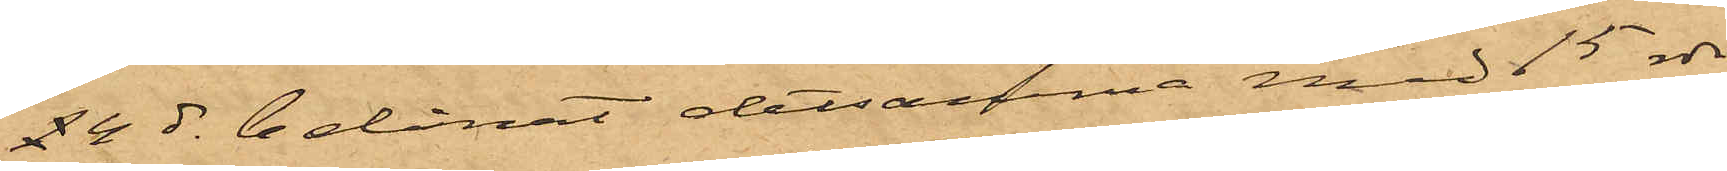24 ds belånat detsamma med 15 rdr,
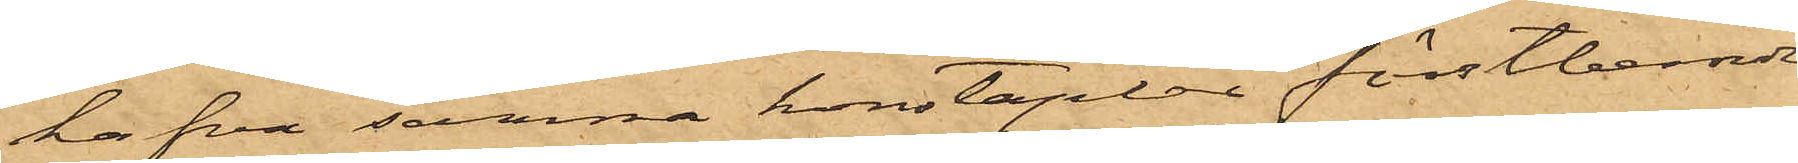hafva samma konstaplar förstberörde
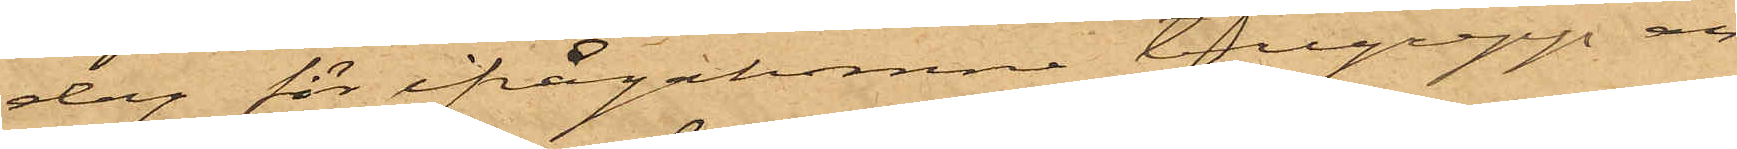dag för ifrågakomne tillgrepp an¬
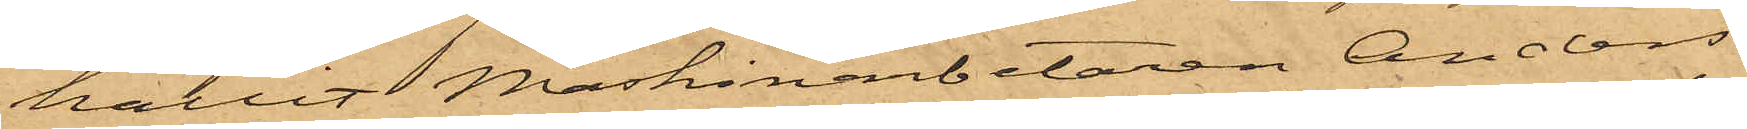hållit Maskinarbetaren Anders
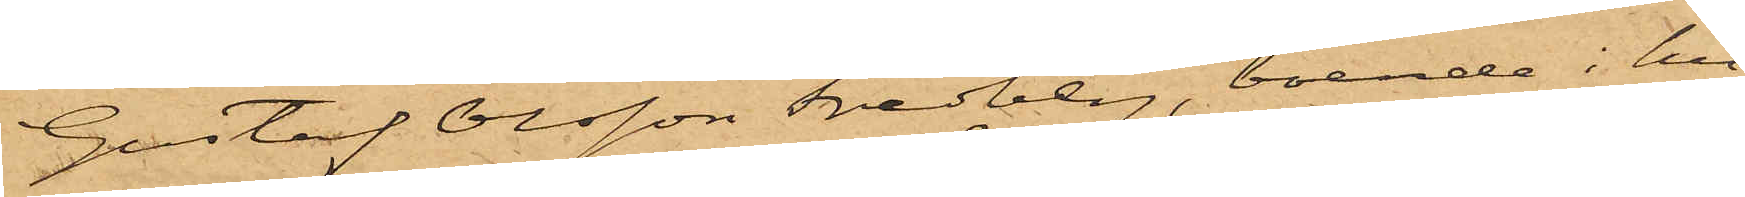Gustaf Olsson Fredberg, boende i hu¬
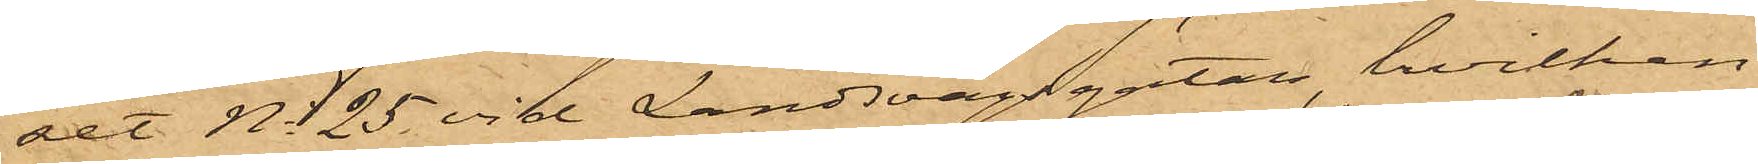set No 25 vid Landsvägsgatan, hvilken
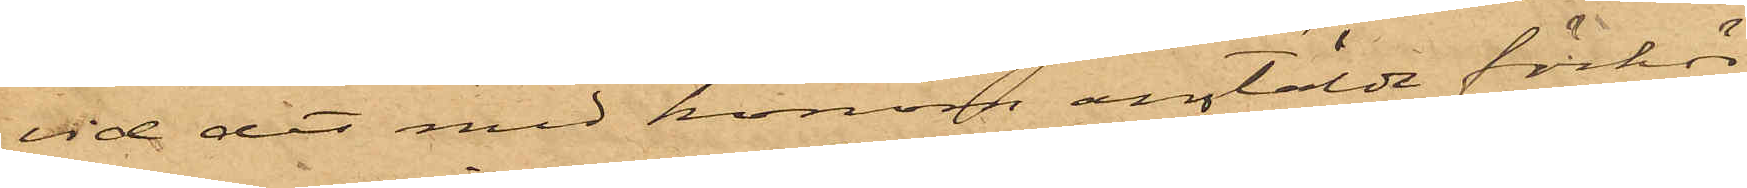vid det med honom antälde förhör
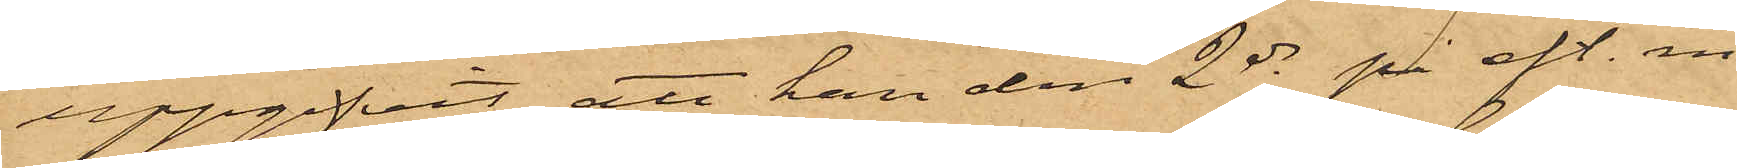uppgifvit, att han den 2 ds på eft.m.
